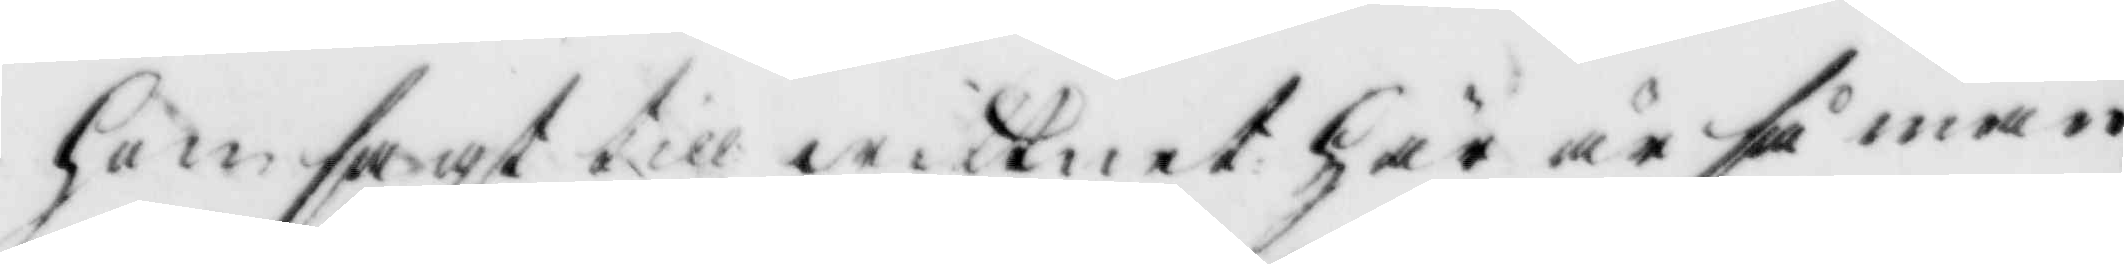hon sagt till wittnet Här är så mån¬
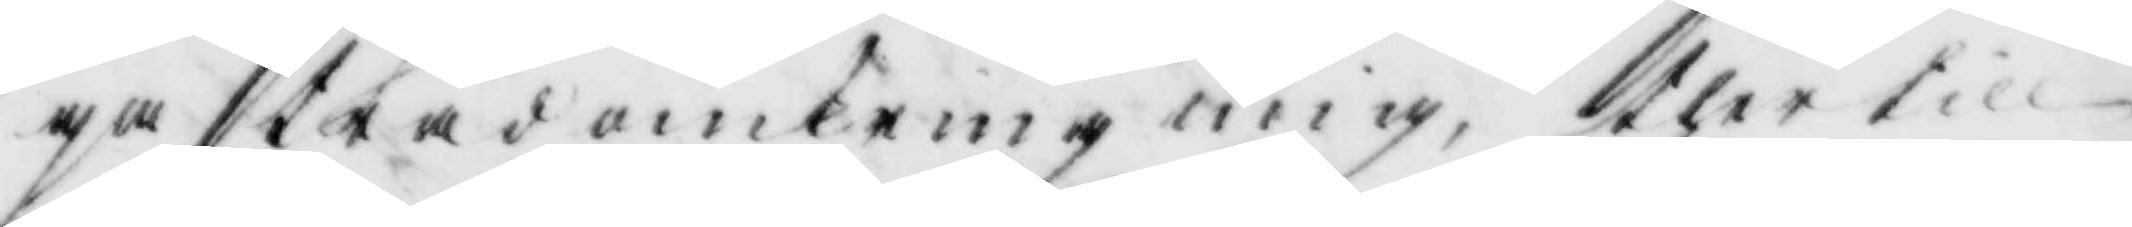ga träd omkring mig, thet till
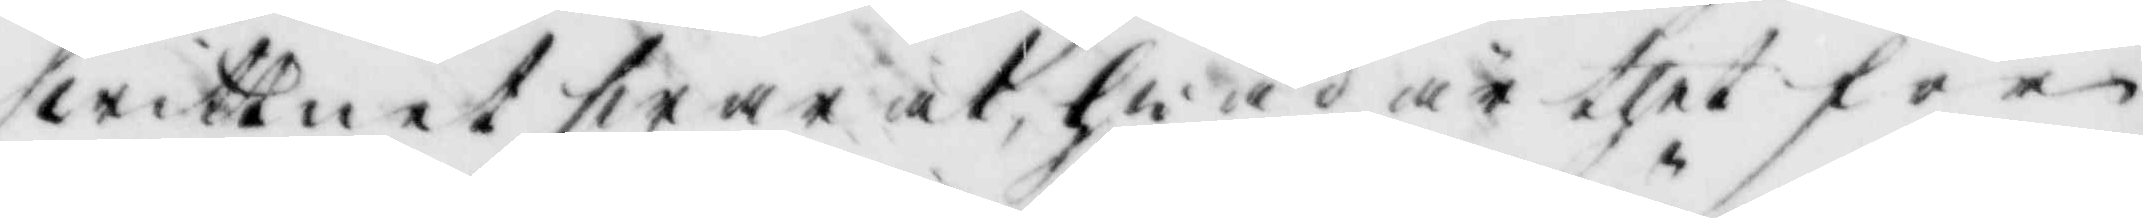wittnet swarat, hwad är thet för
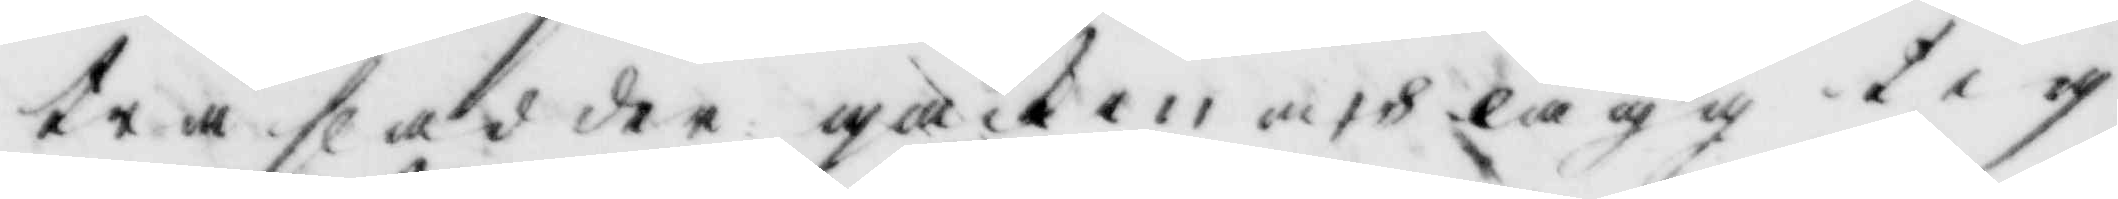tråslad der gack in och lägg tig
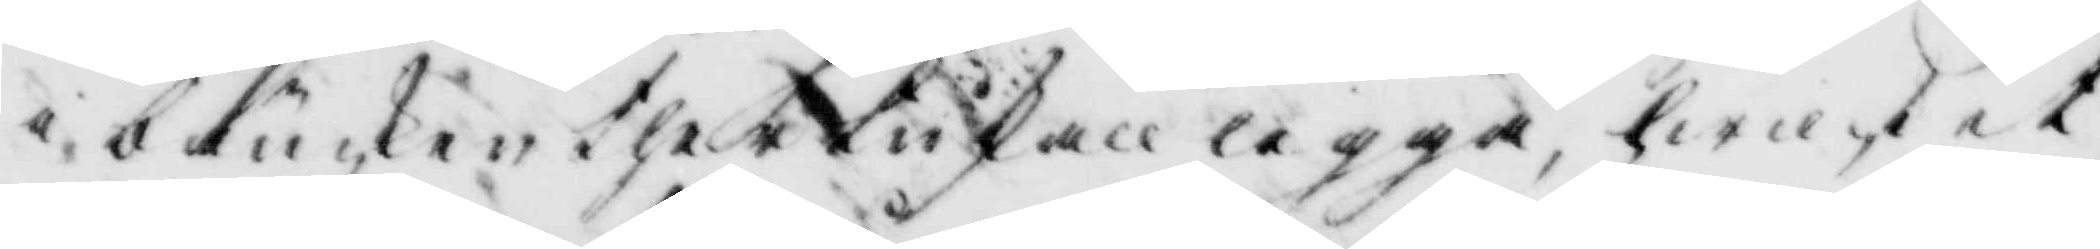i bäncken ther lukan legga, hwilket
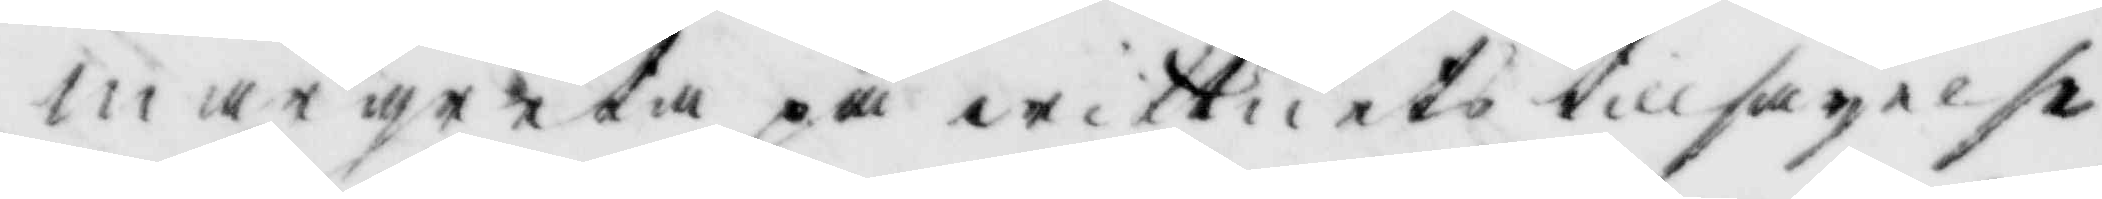margreta på wittnets tillsäyelse
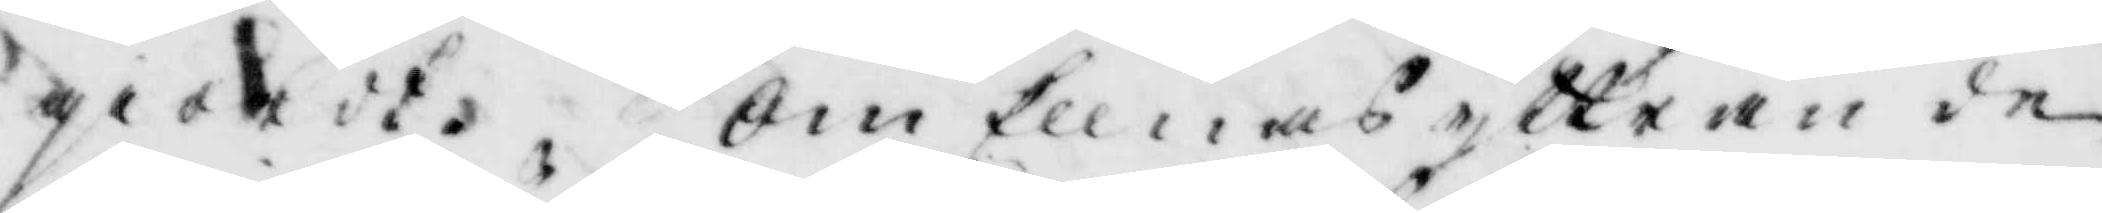giordt. Om Ellnas yttran de
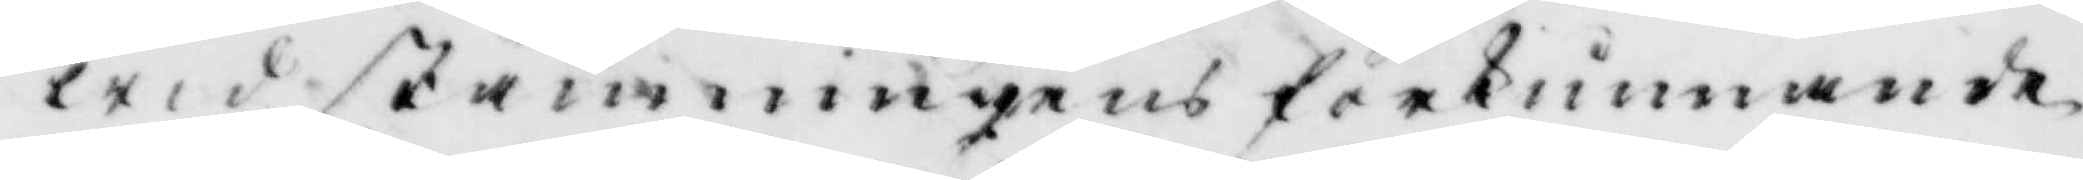wid stämningens förkunnande
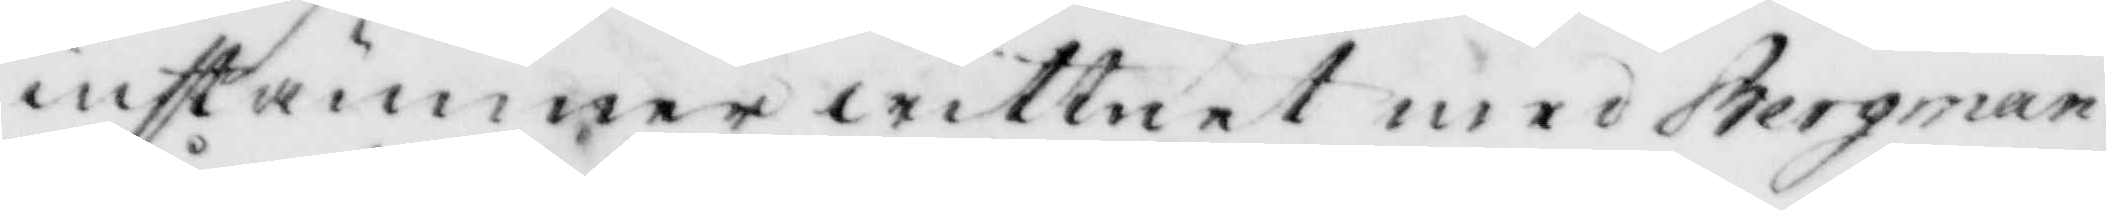instämmer wittnet med Bergman
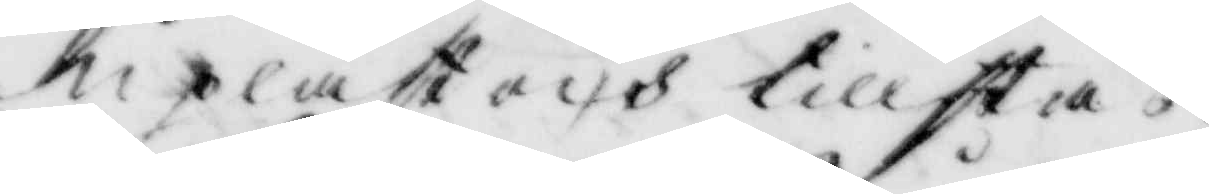upläst och tillstås.
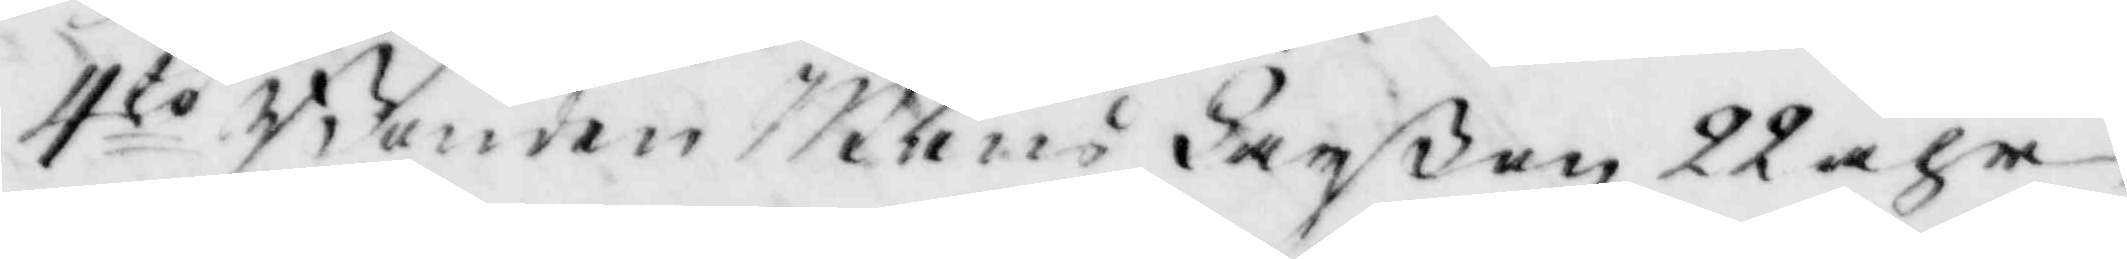4to Bonden Måns Larßon 22 åhr
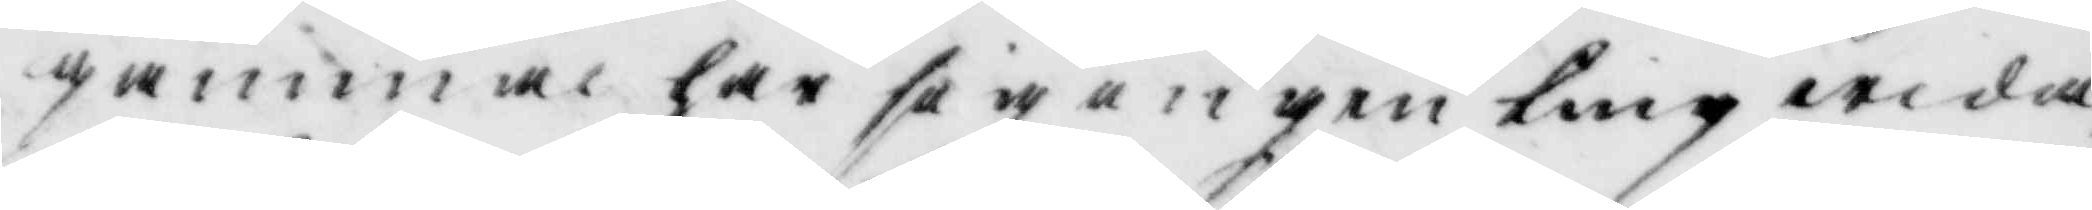gammal har sig ingenting wida¬
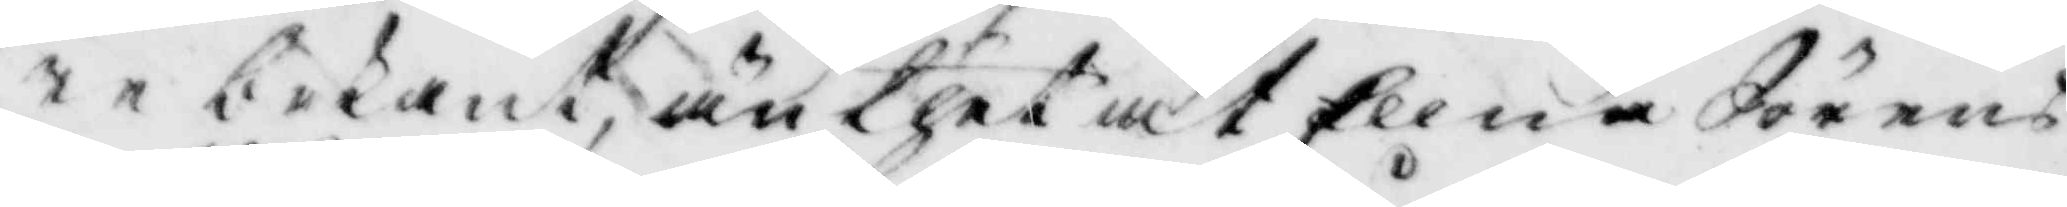re bekant, än thet at Ellna Sörens¬
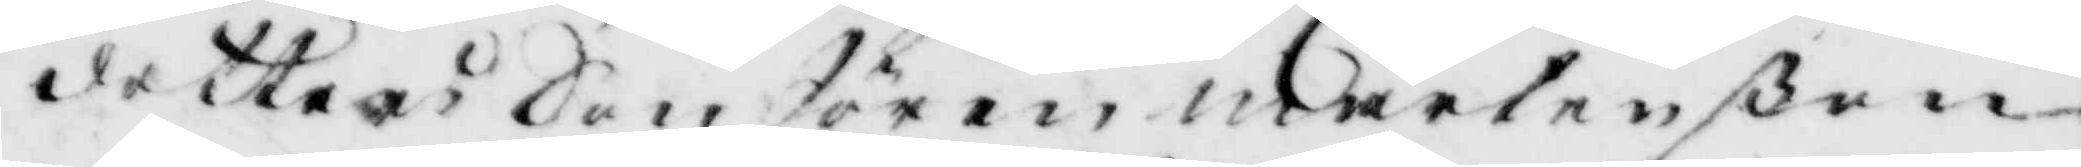dotters Son Sören mårtenßon
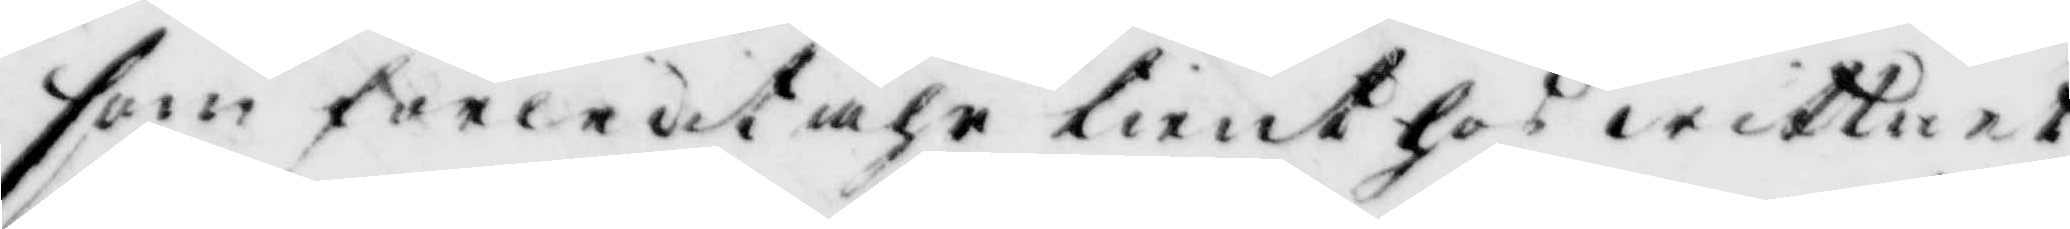som förledet åhr tient hos wittnet,
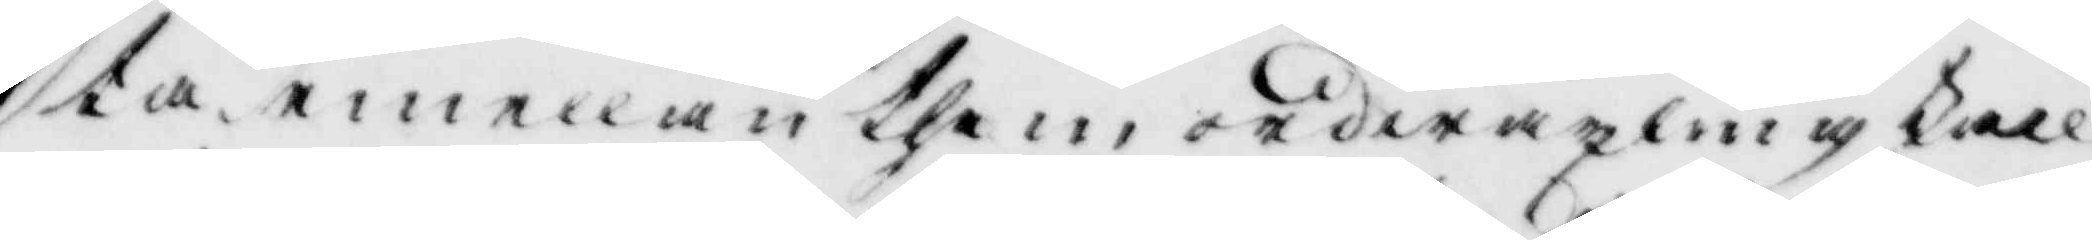ta emellan them ordwäxling skall
